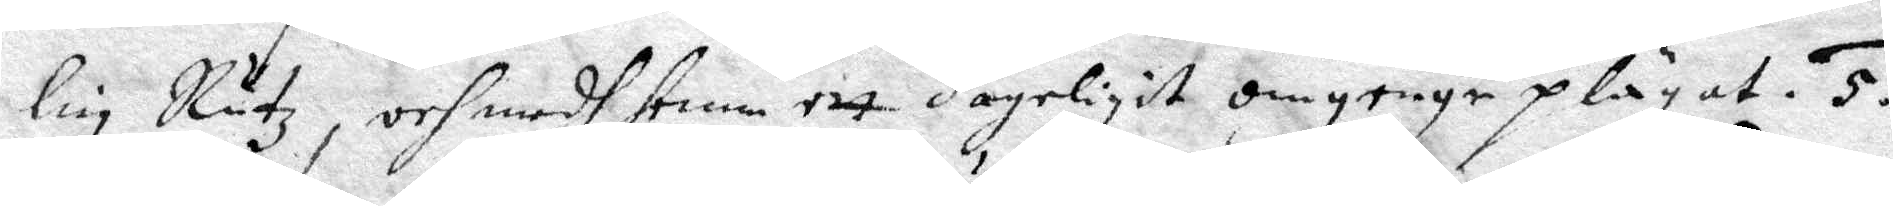lin Rutz, och medh henne ett dageligit omgenge plägat. 5.
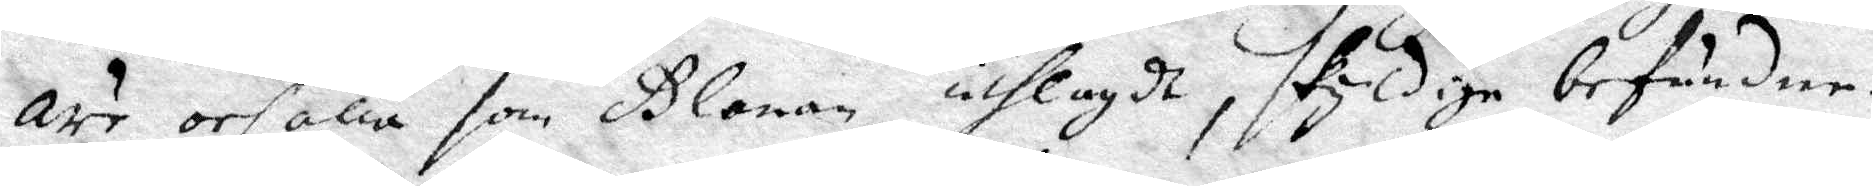Äre orsaka som Glanan utlagdt, skyldige befundne.
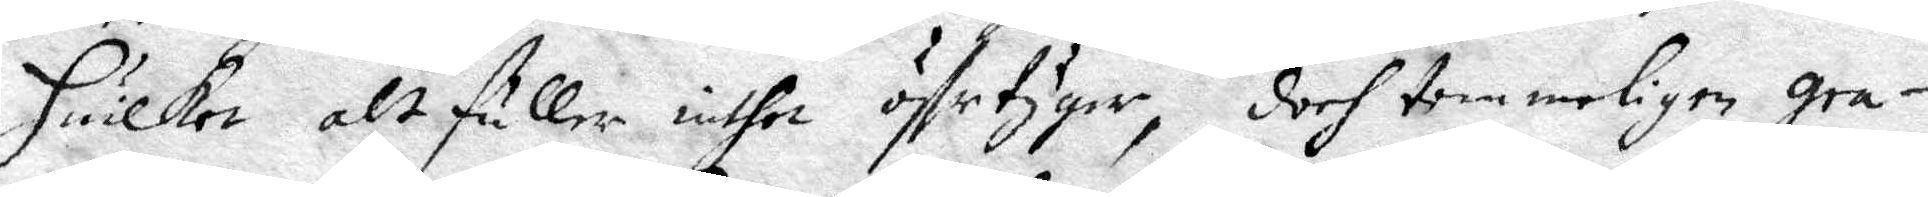Huilket alt fuller inthet äffrtyger, doch temmeligen gra¬
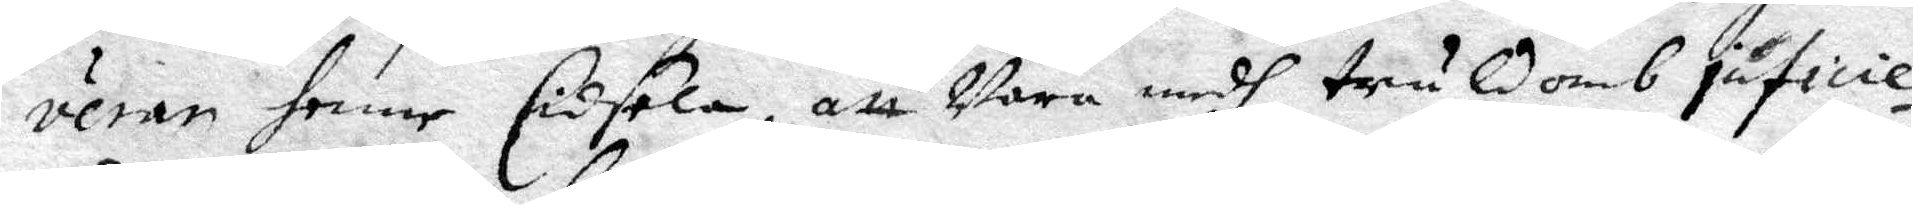verar henne Cidsela, att Vara medh truldomb juficie¬
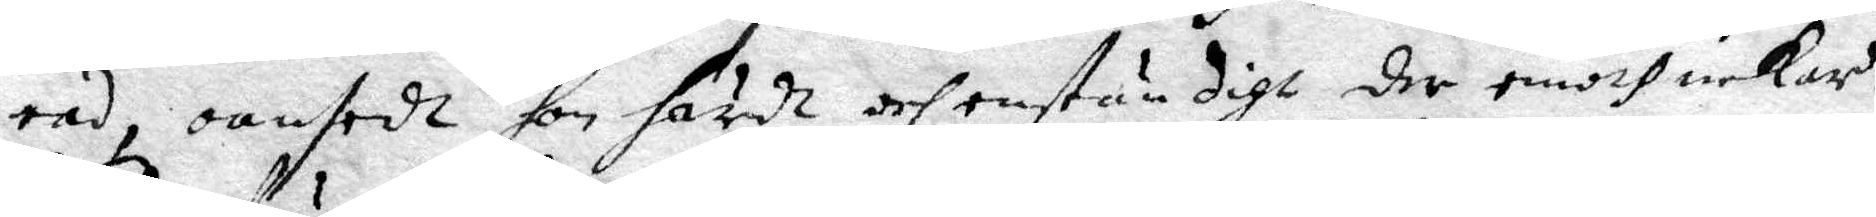rad, oansedt hon ördt och enständigt der emodt nekar.
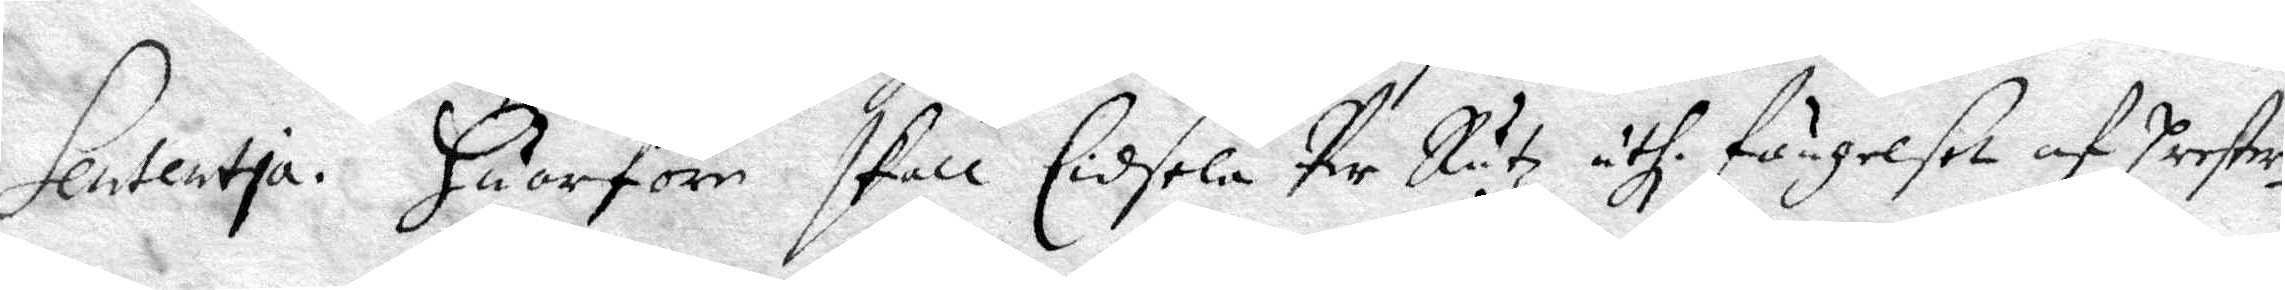Sententia. Huarföre skall Cidsela Per Rutzuthi fängelset af Prester¬
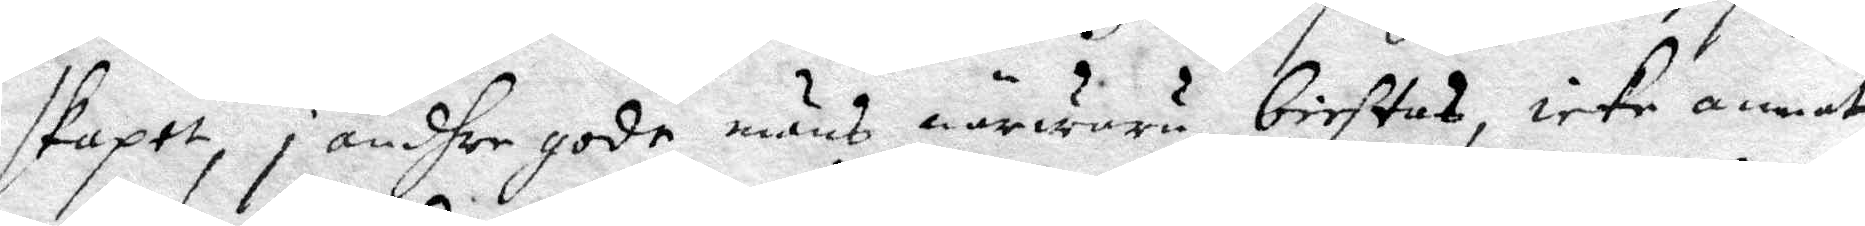skapet, i andhre gode mäns närwaru, bichtas, icke annat
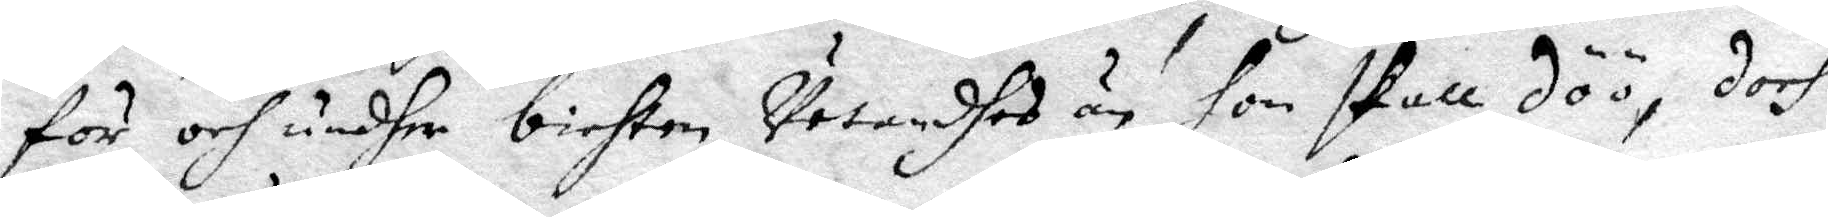för, och undher bichten, Vetandhes än hon skall dö, doch
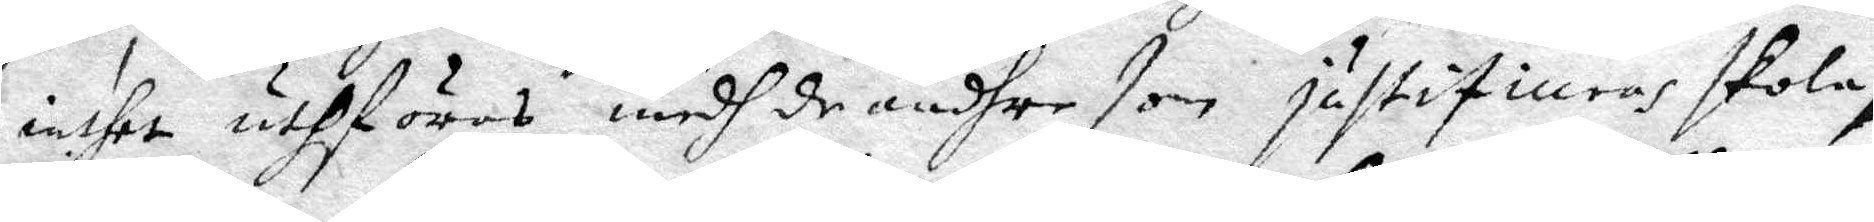inthet uthföras medh dhe andhre som justifiuras skaola,
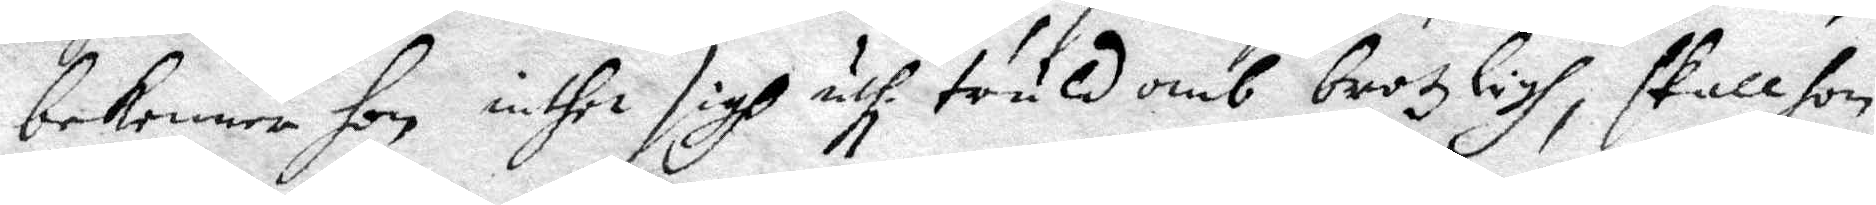bekenner hon inthe sigh uthi truldomb brotzligh, skall hon
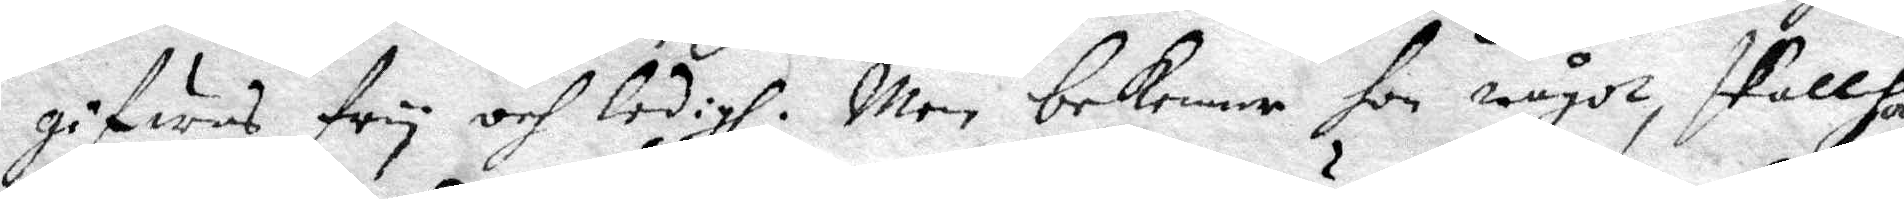gifwas fry och ldigh; men bekenner hon något, skall hon
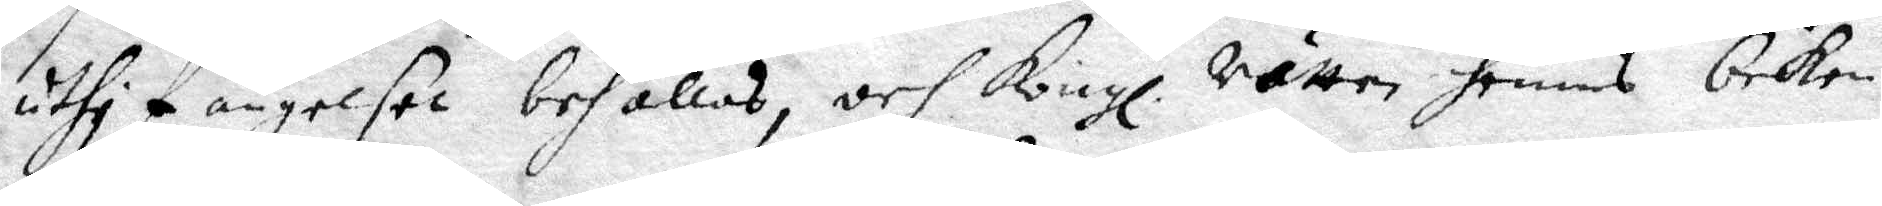uthi fängelset behållas, och Kongl. rätten hennes beken¬
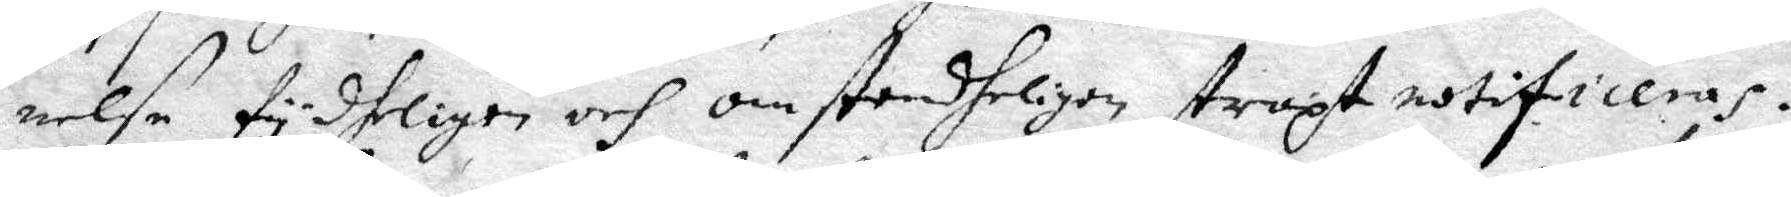nelse tydhligen och omstenheligen straxt notificeras:
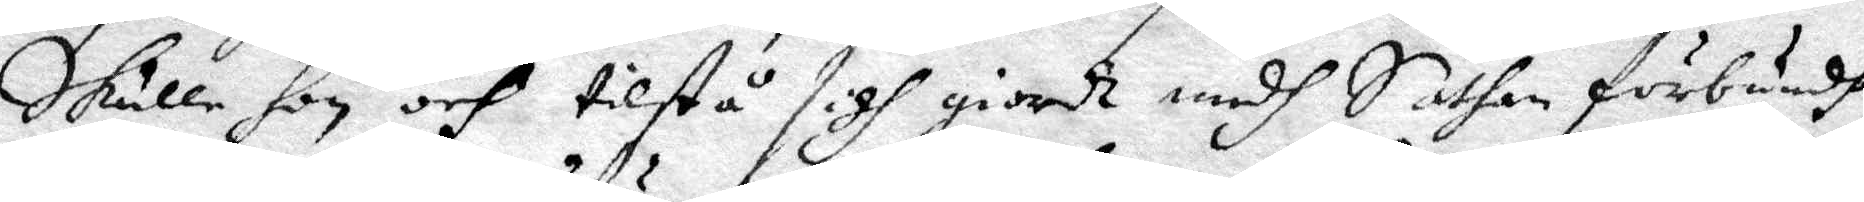Skulle hon och tilstå sigh giordt medh Satan förbundh,
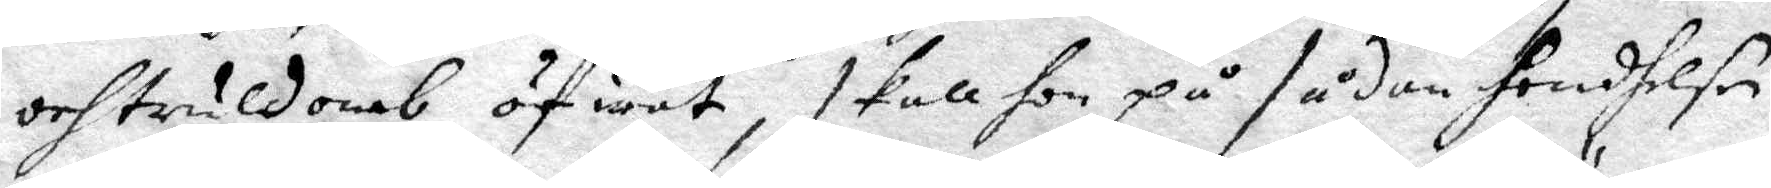och truldomb öfwat, skall hon på sådan hendhelse
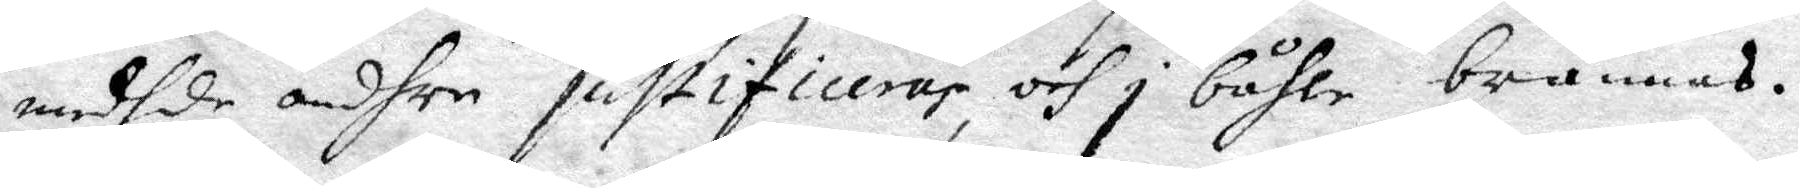medh dhe andhre justifiueras, och i båhle brännas.
